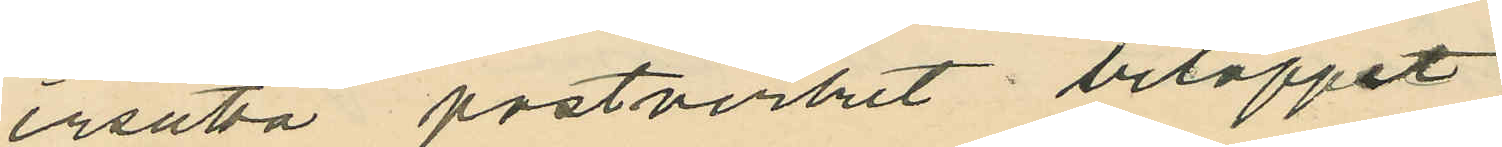ersätta postverket beloppet.
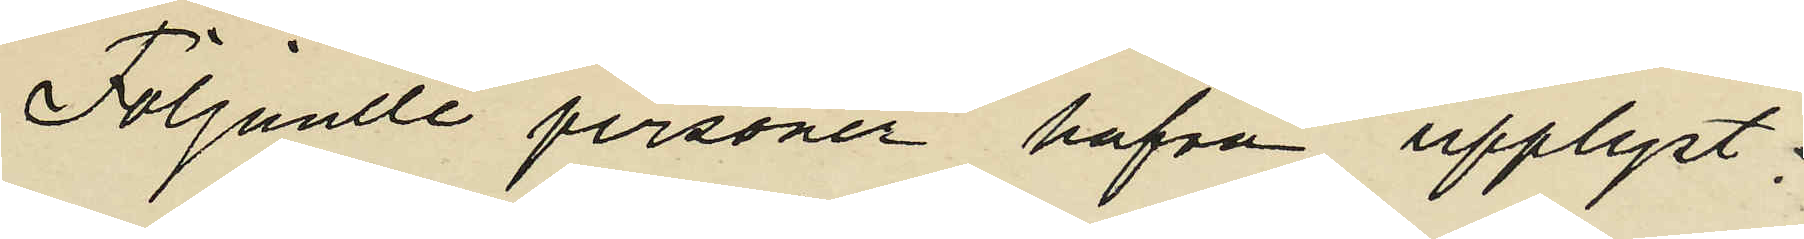Följande personer hafva upplyst:
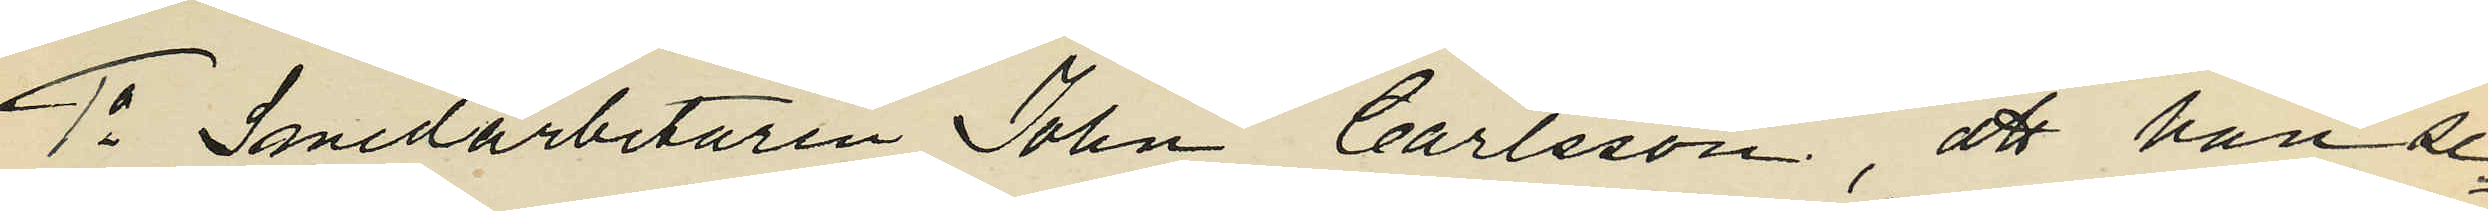1o Smedarbetaren John Carlsson, att han se¬
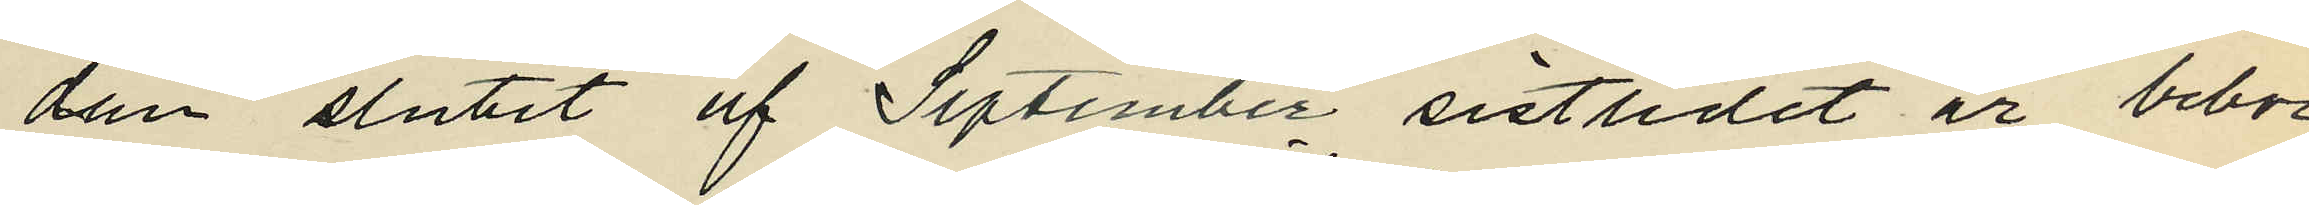dan slutet af September sistlidet år bebor
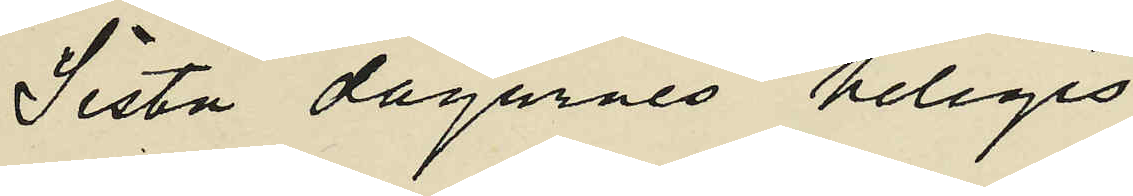Sista dagarnes heliges
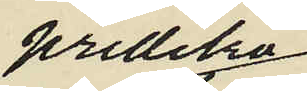prediko¬
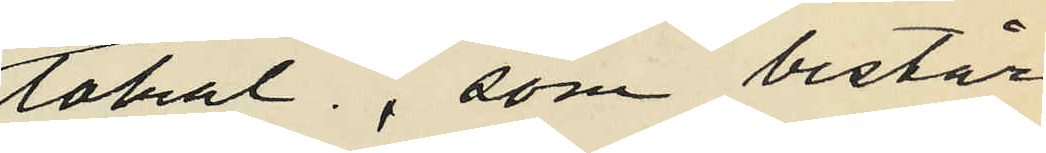lokal, som består
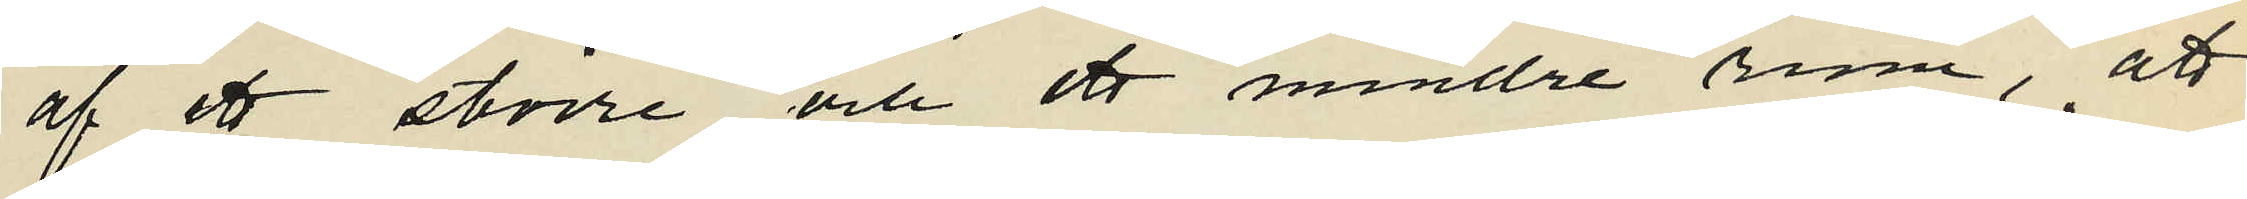af ett större och ett mindre rum, att
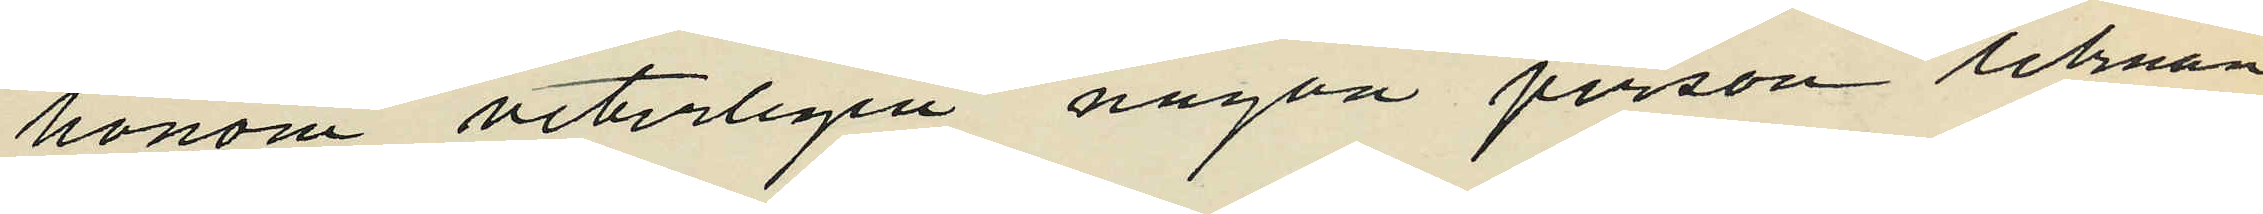honom veterligen någon person liknan¬
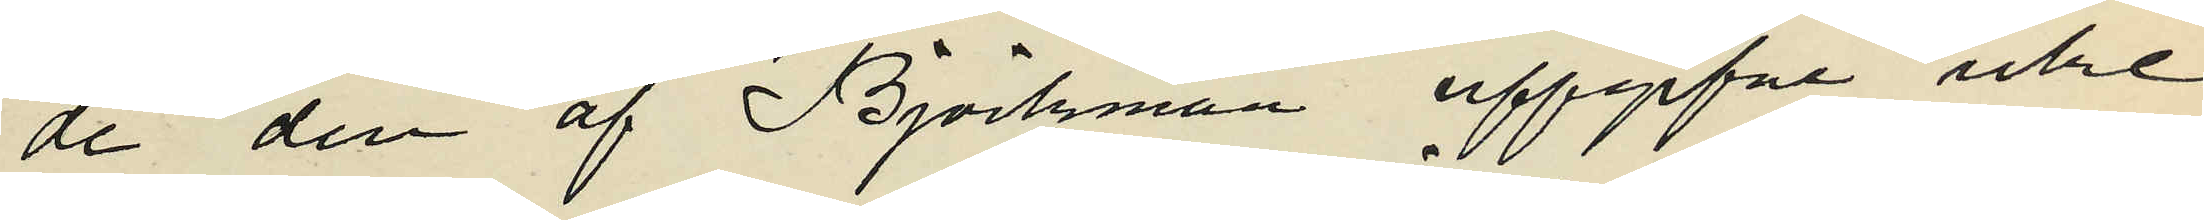de den af Björkman uppgifne icke
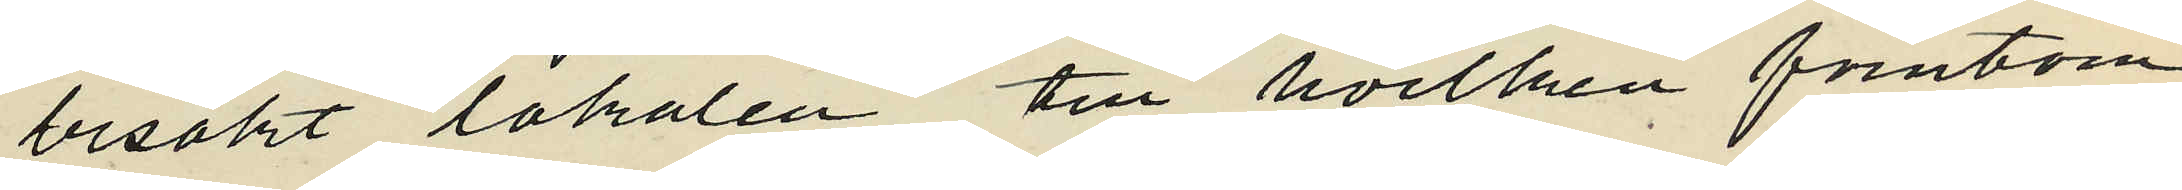besökt lokalen till hvilken förutom
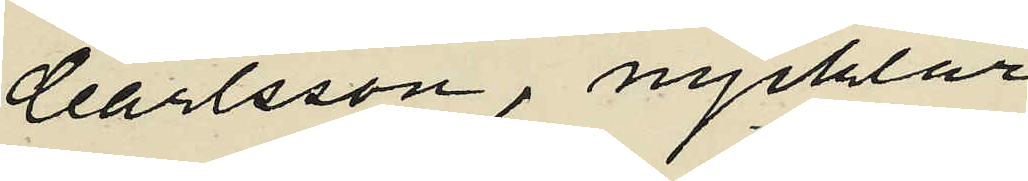Carlsson, nycklar
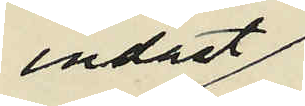endast
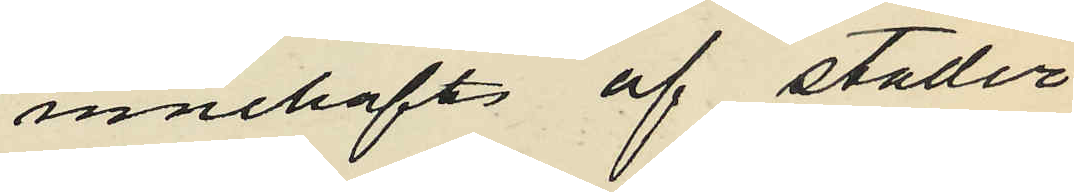innehafts af städer¬
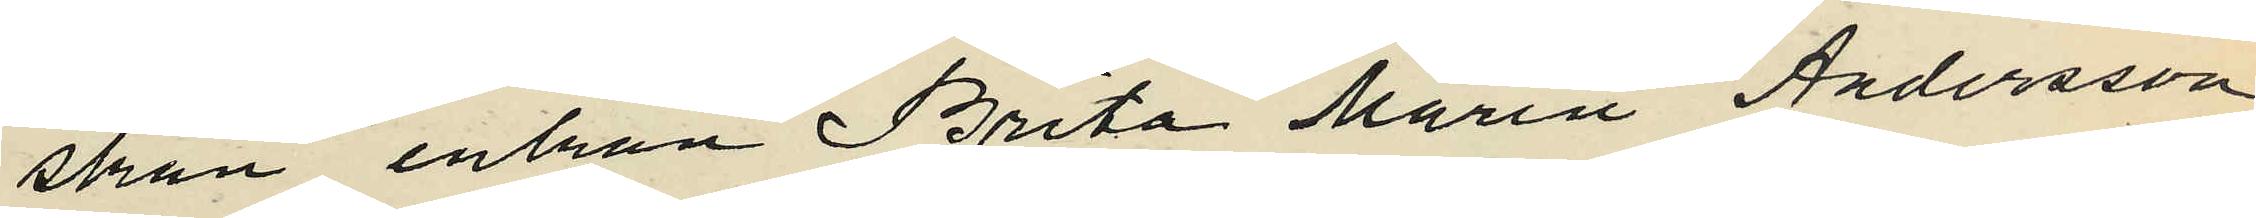skan enkan Brita Marin Andersson
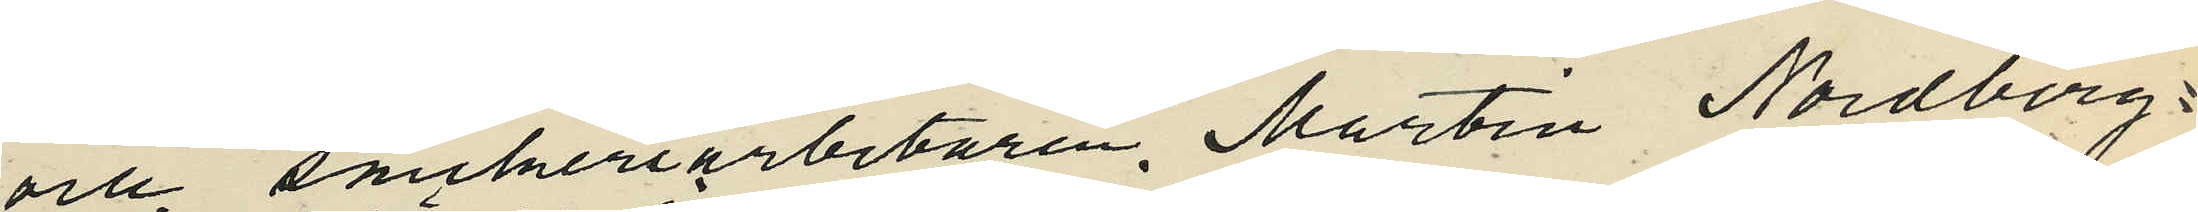och snickeriarbetaren, Martin Nordberg
